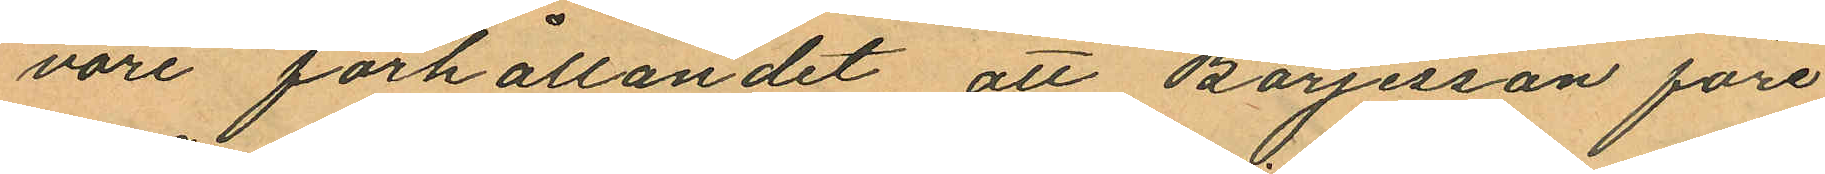vore förhållandet att Börjesson före
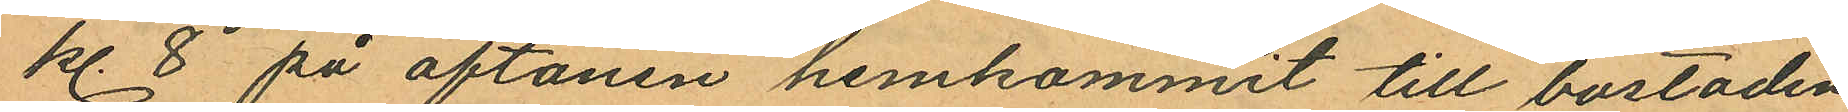kl. 8 på aftonen hemkommit till bostaden
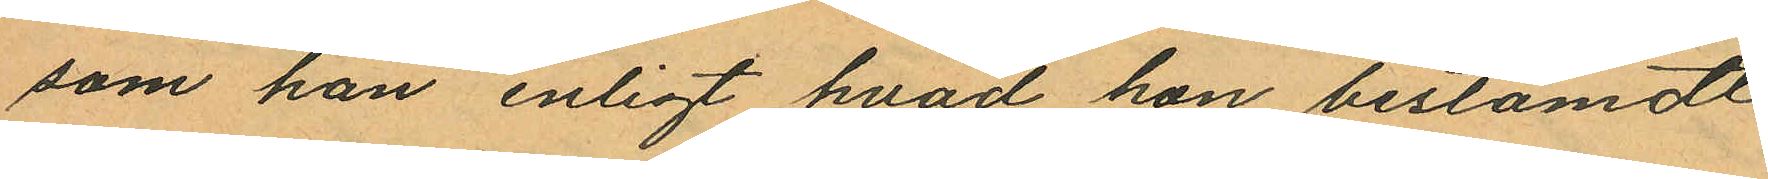som han enligt hvad hon bestämdt
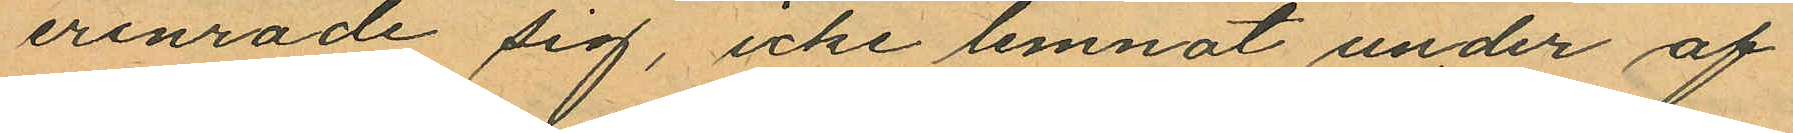erinrade sig, icke lemnat under af
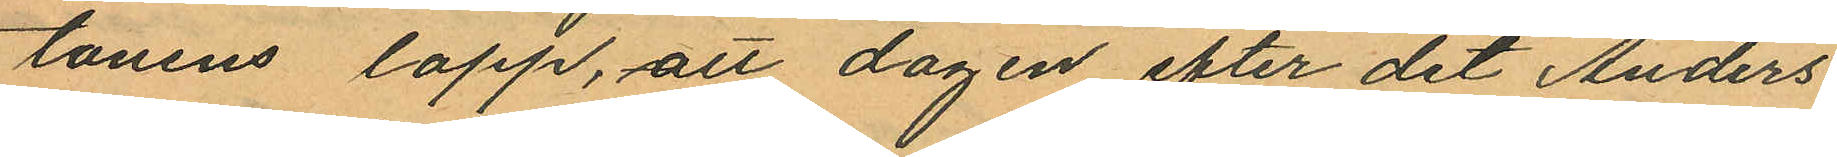tonens lopp, att dagen efter det Anders¬
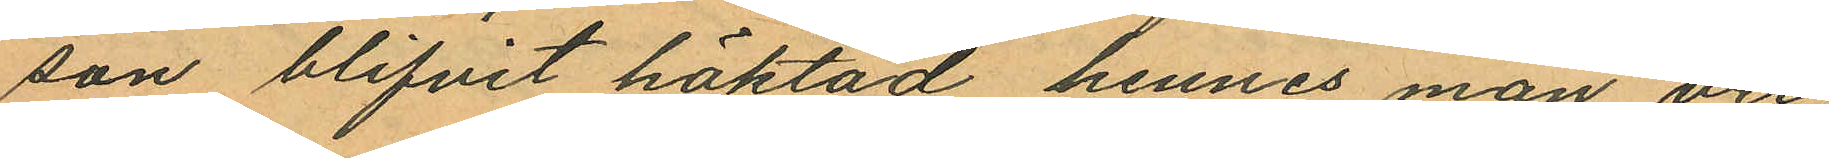son blifvit häktad hennes man, vri
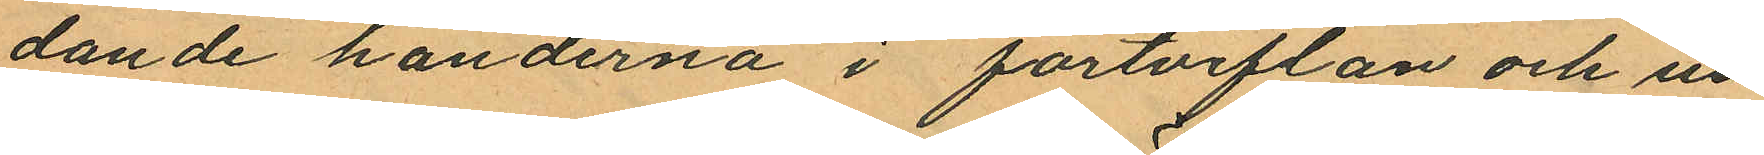dande händerna i förtviflan och un¬
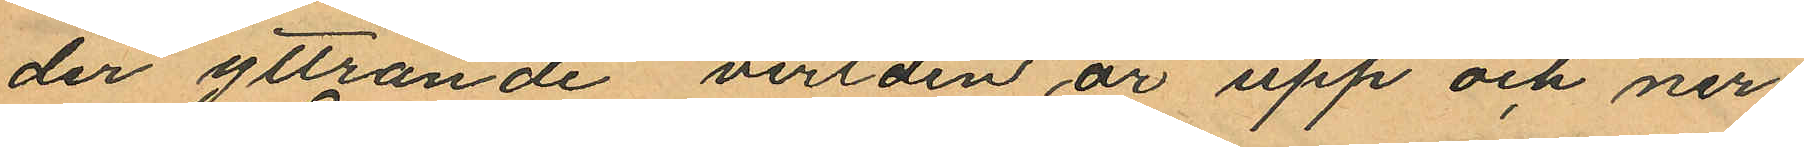der yttrande "verlden är upp och ner
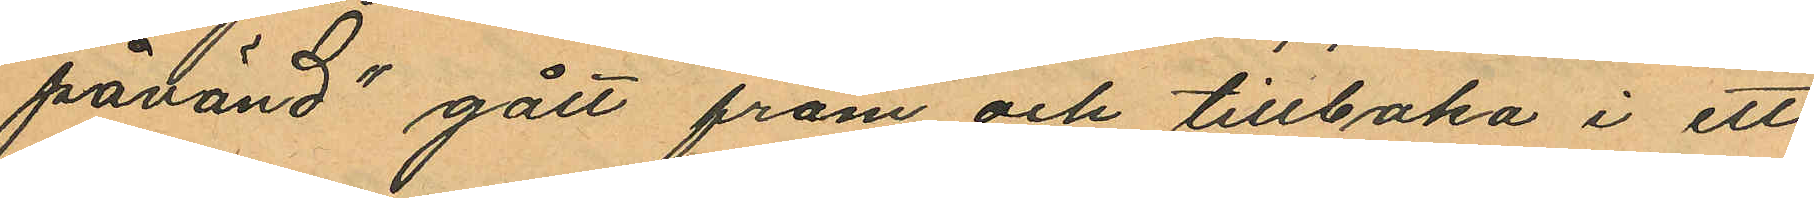påvänd" gått fram och tillbaka i ett
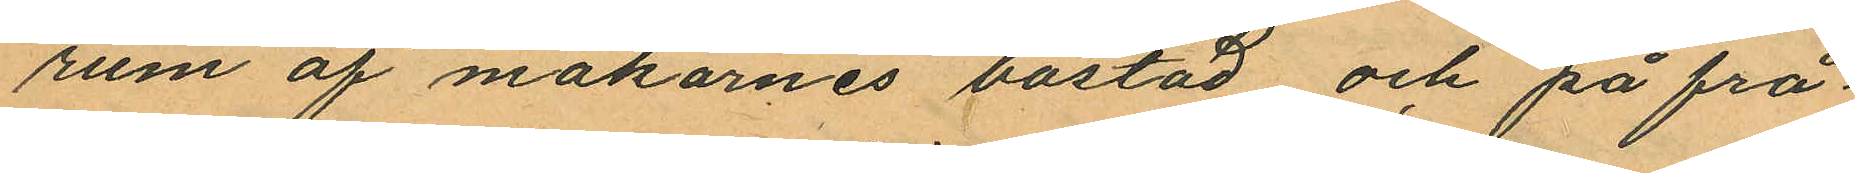rum af makarnes bostad och på frå
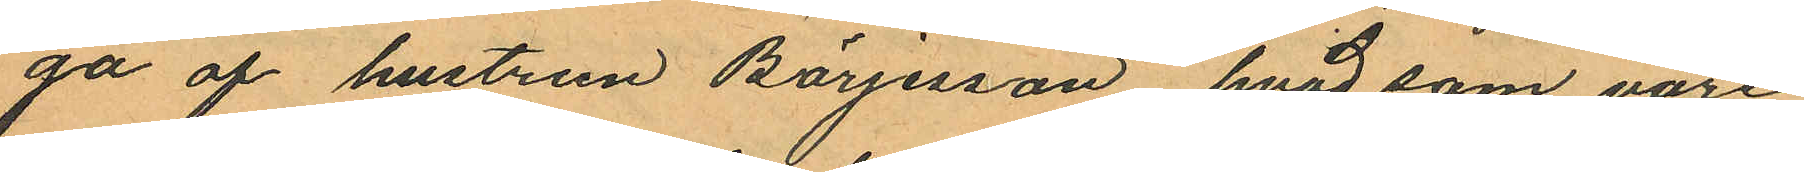ga af hustrun Börjesson hvad som vore
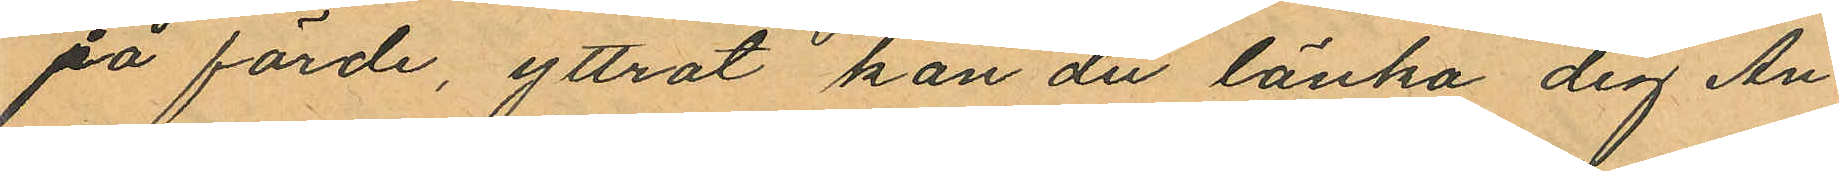på färde, yttrat kan du länka dig An¬
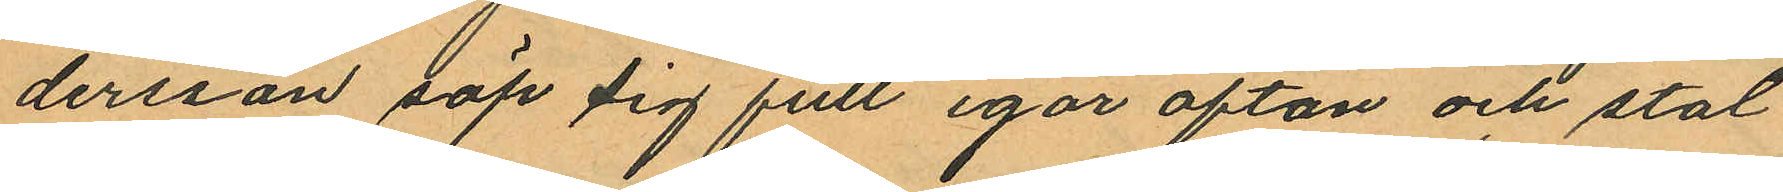dersson söp sig full igår afton och stal
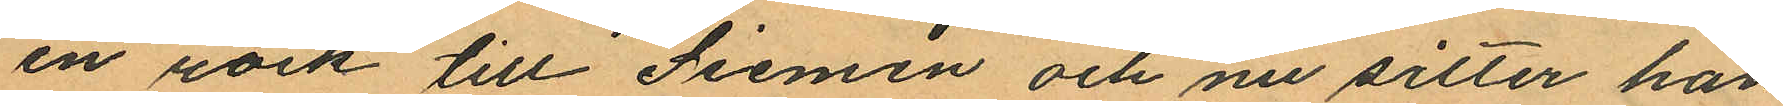en rock till Siemen och nu sitter han
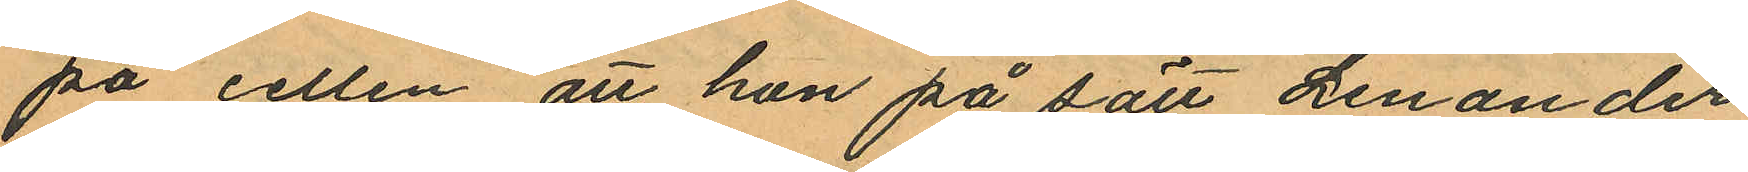på cellen, att hon på sätt Lenander
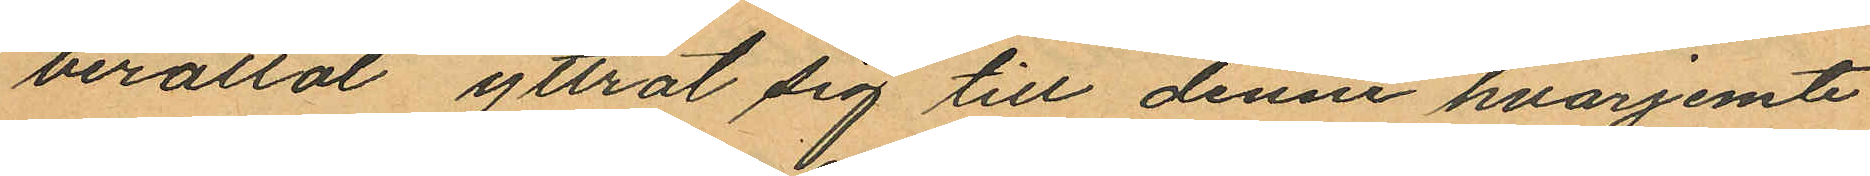berättat yttrat sig till denne hvarjemte
